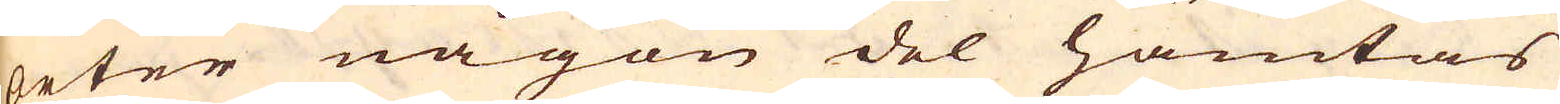orter någon del hämtas
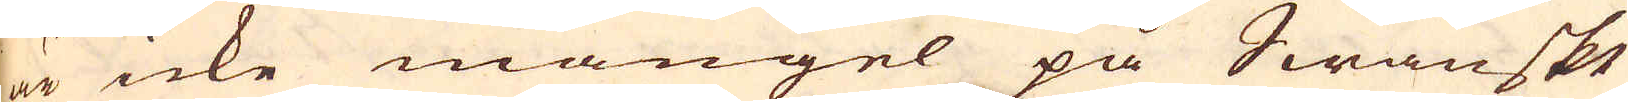är icke mangel på Swänskt
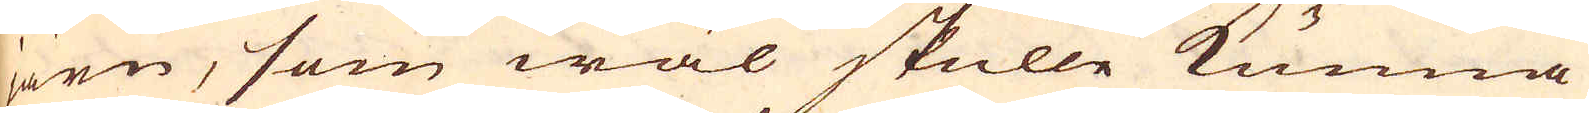järn, som wäl skulle kunna
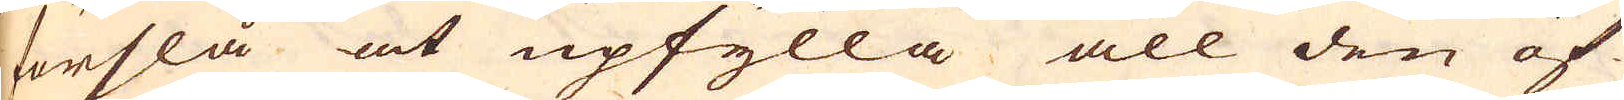förslå at upfylla all den öf-
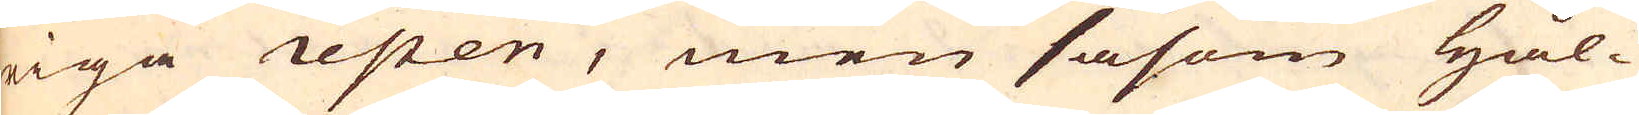riga repen, men såsom Hål-
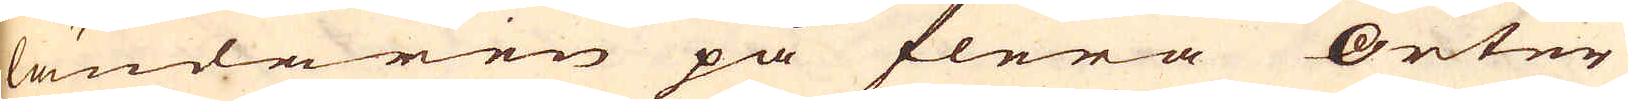ländaren på flera Orter
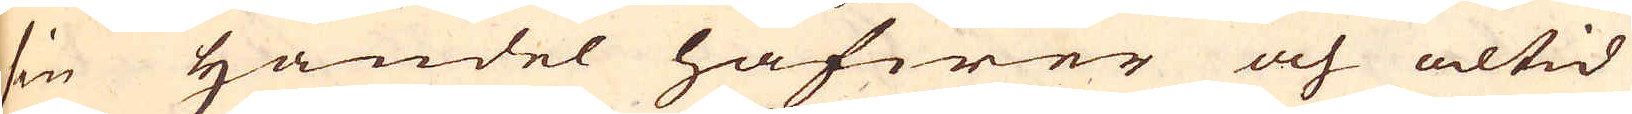sin Handel hafwer och altid
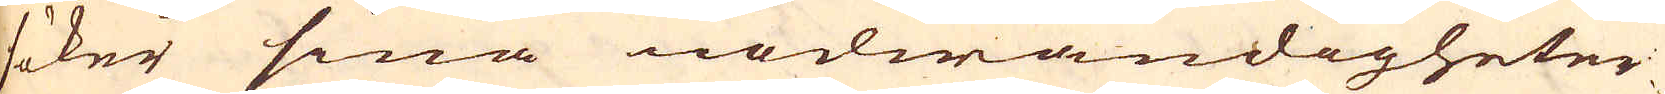söker sina nödwändigheter
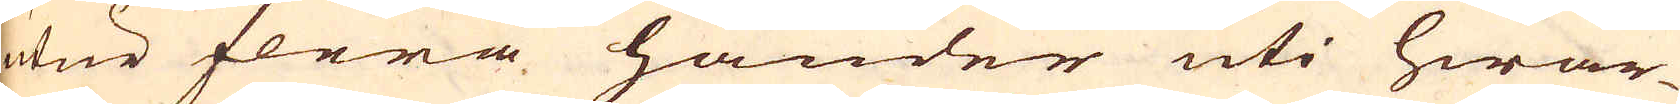utur flera händer uti hwar-
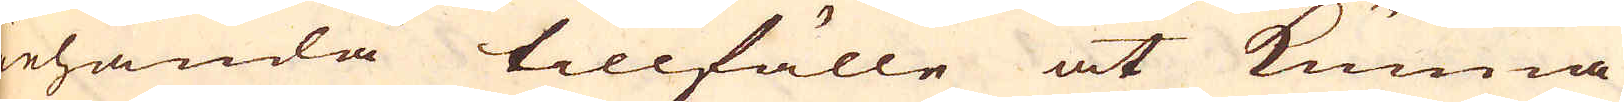iehanda tillfälle at kunna
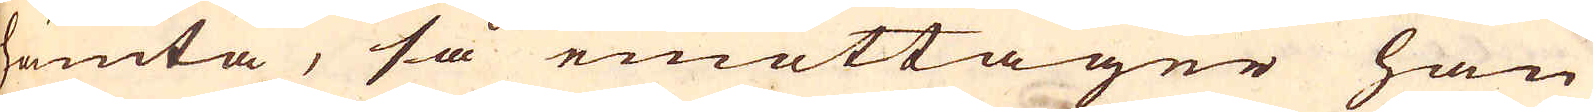hämta, så emottager han
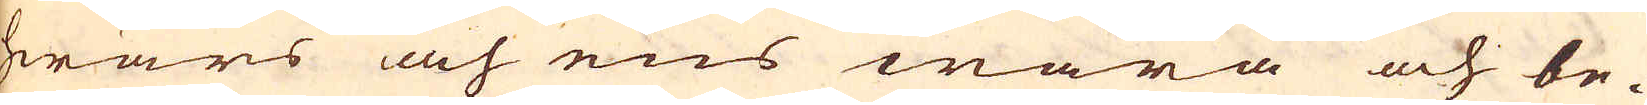hwars och ens wara och be-
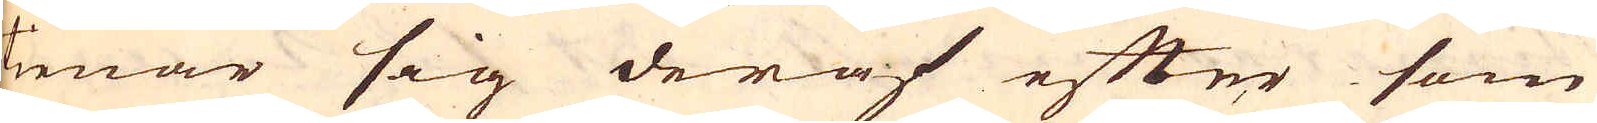tienar sig deraf efter som
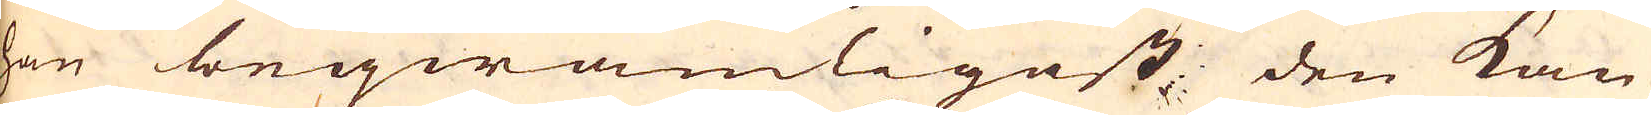han beqwämligast den kan
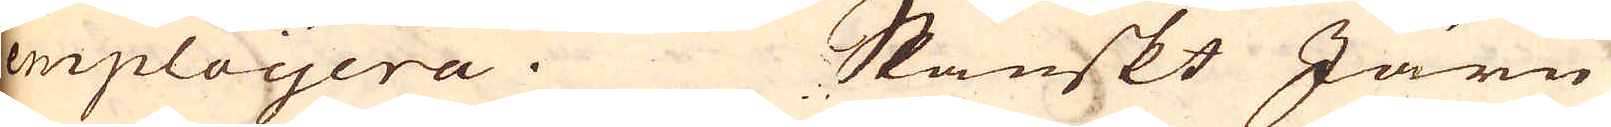emploijera. Spanskt Järn
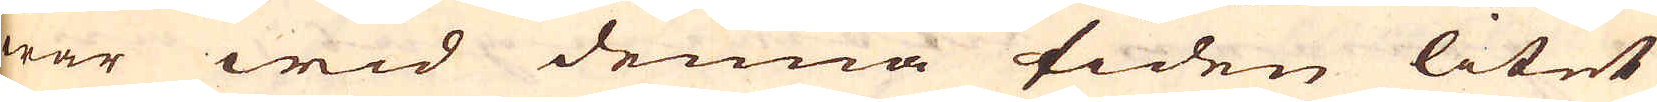war wid denna tiden litet
